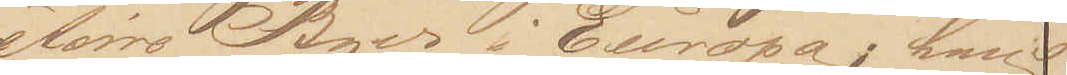større Byer i Europa; hans
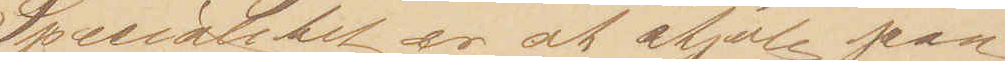Specialitet er at stjæle paa
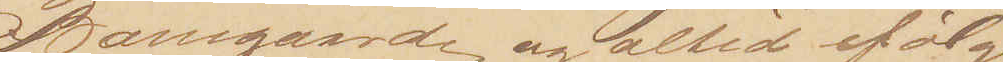Banegaarde og altid ifølge
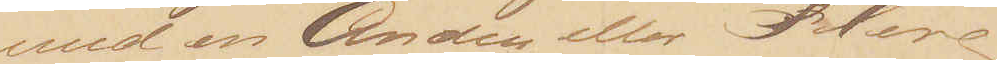med en Anden eller Flere;
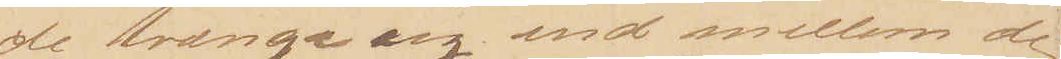de trænge sig ind mellem de
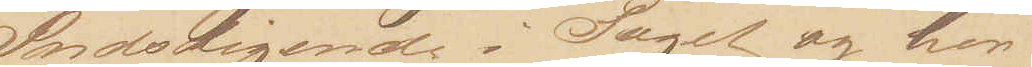Indstigende i Toget og her
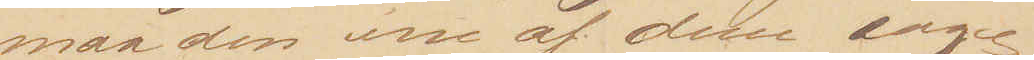maa den ene af dem søge 
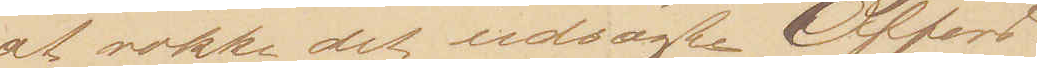at vække det udsøgte Offers
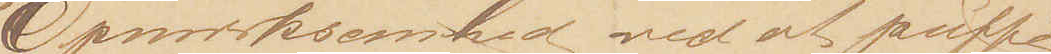Opmærksomhed ved at puffe
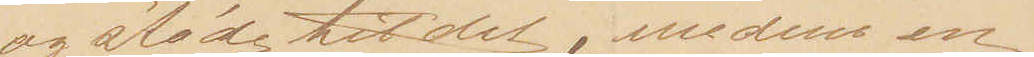og støde til det, medens en
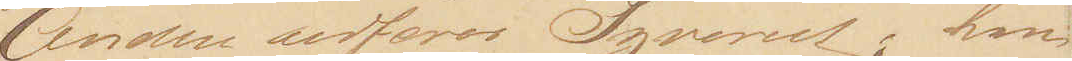Anden udfører Tyveriet; han
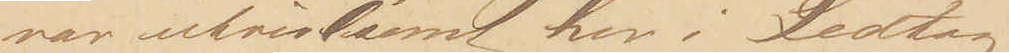var utvivlsomt her i Ledtog
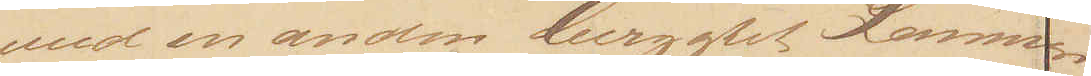med en anden berygtet Lomme¬
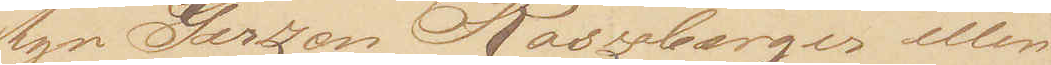tyv Gerzon Roszberger eller
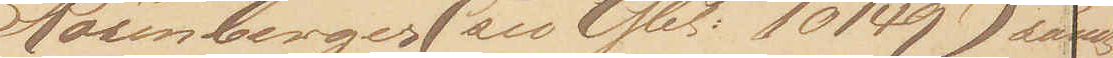Rosenberger (see Gbl: 10149) samt
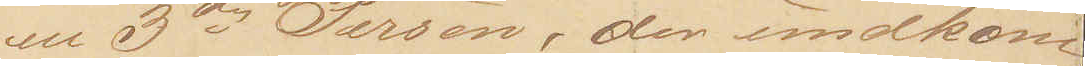en 3die Person, der undkom.
